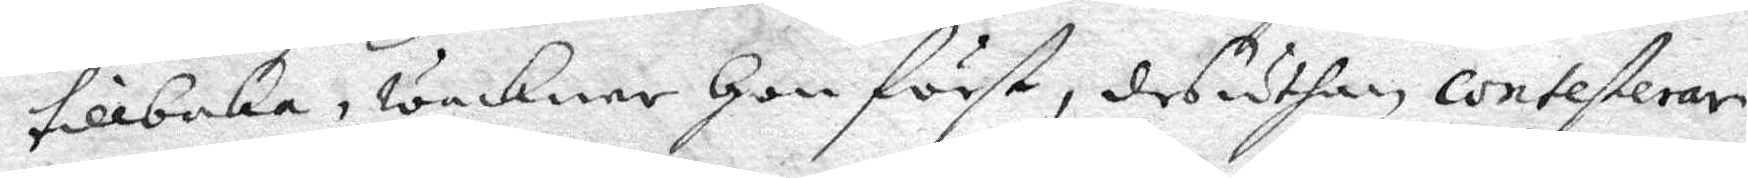tillbaka, wakner Hon först, desuthan contesterar
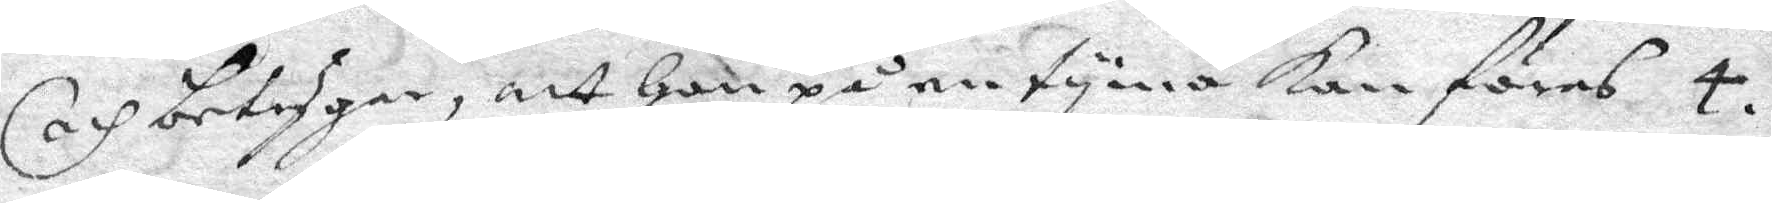och betygar, att Hon på en tyma kan föras 4.
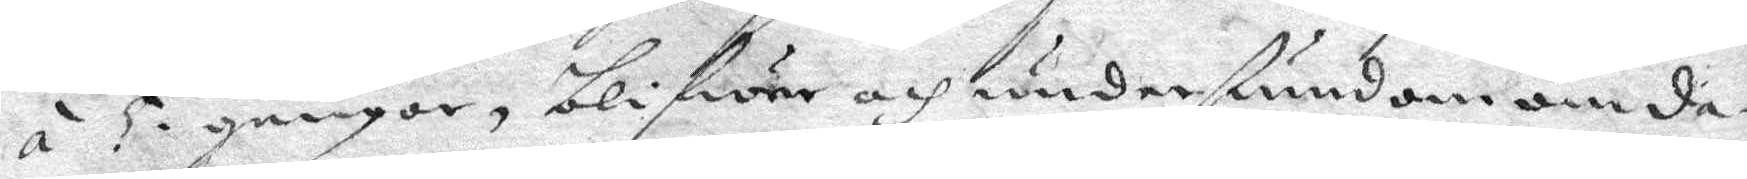á 5 gånger, blifwer och undersyundom om da¬
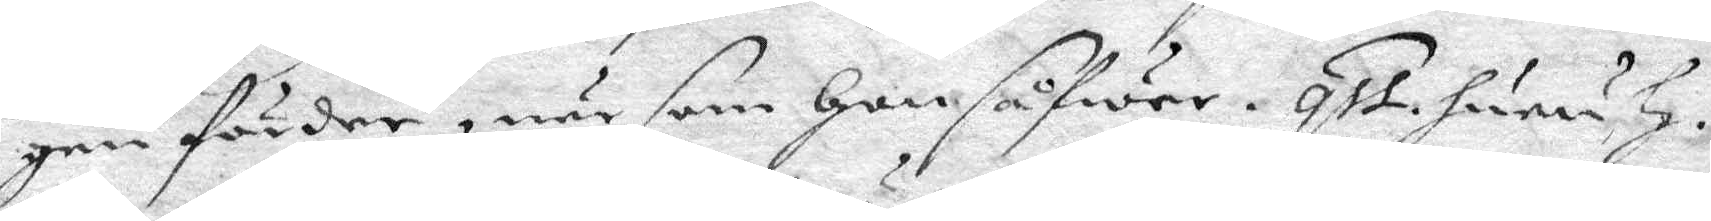gen förder, när som Hon såfwer. qst. huru H.
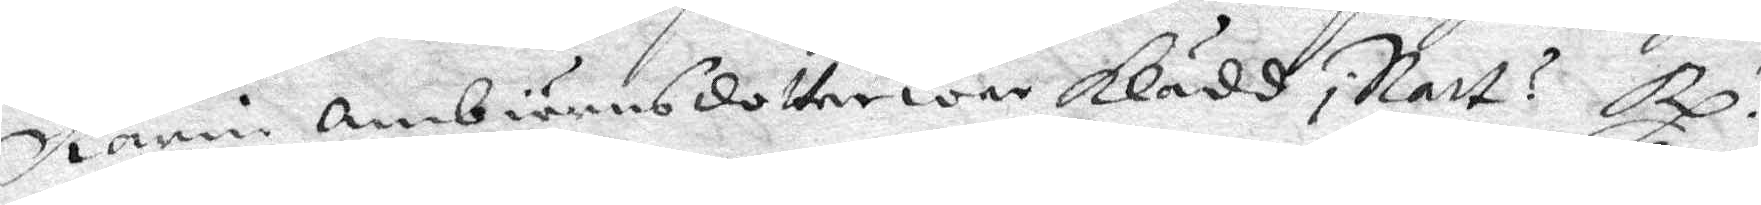Karin Ambiörnsdotter war klädd i Natt? Rp.
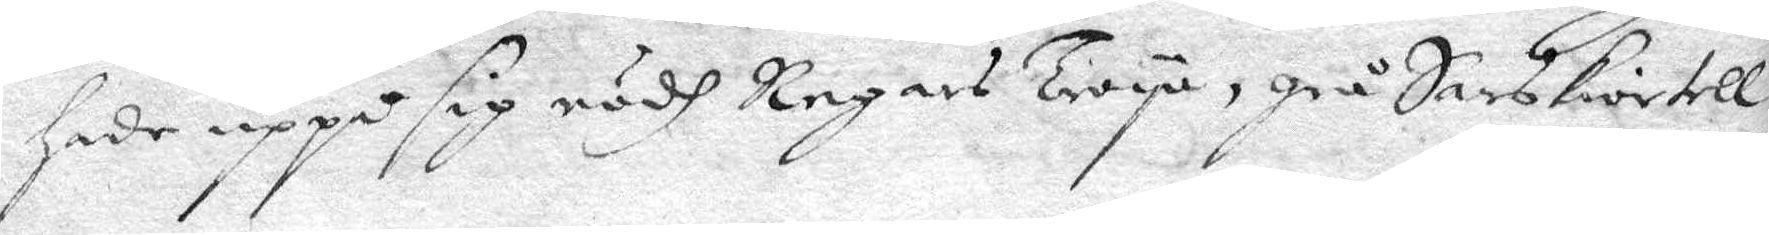hade uppå sig rödh Regars Tröya, grå Sarskiortell
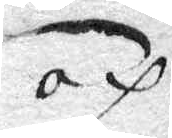och
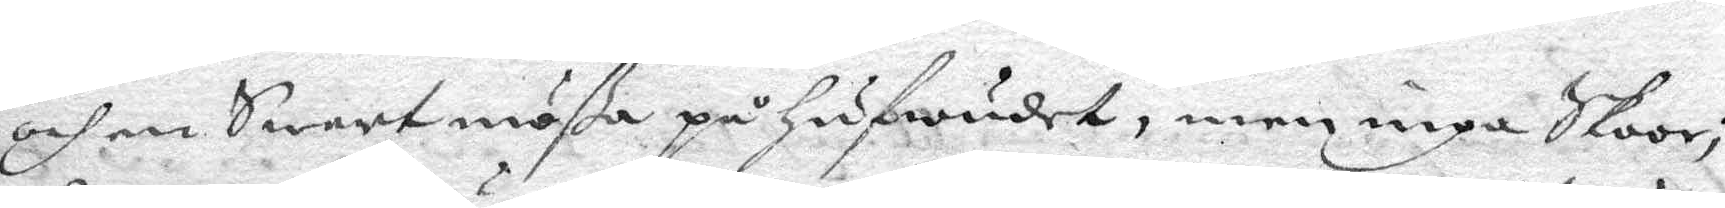och en Swart mößa på Hifwudet, men inga Skoor
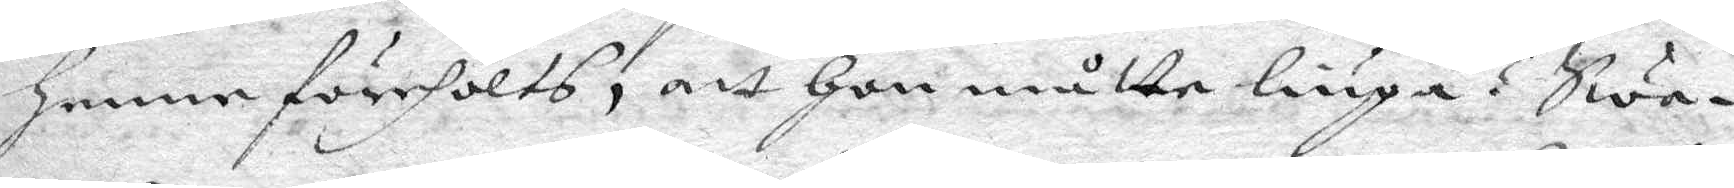Henn förehölts, att Hon måtte liuga? Swa¬
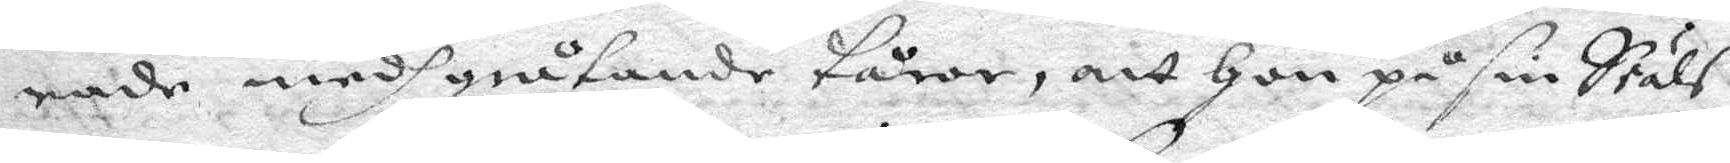rade medh gråtande tårar, att Hon på sin Siäls
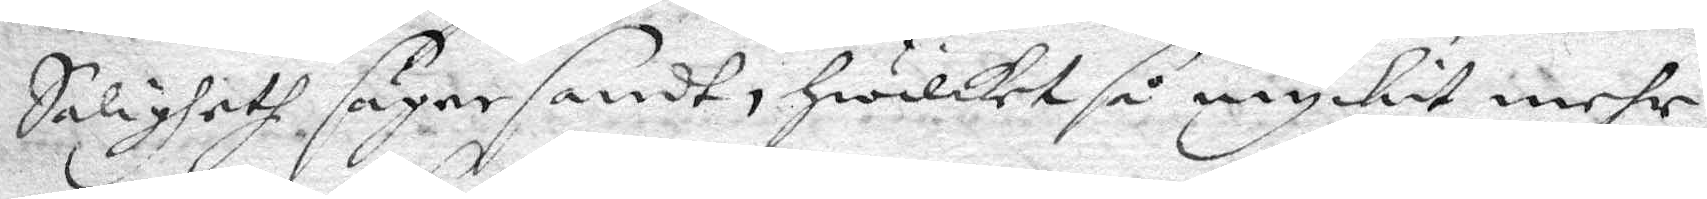Saligheth säger sandt, Hwilket så myckit mehr
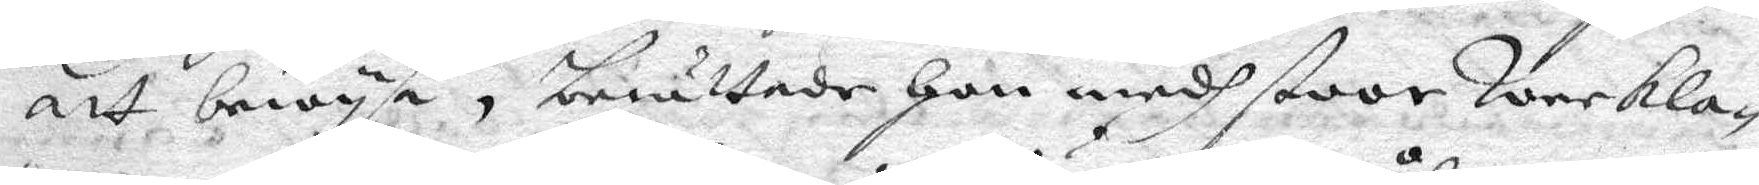att bewysa, berättade Hon medh stoor Weekla¬
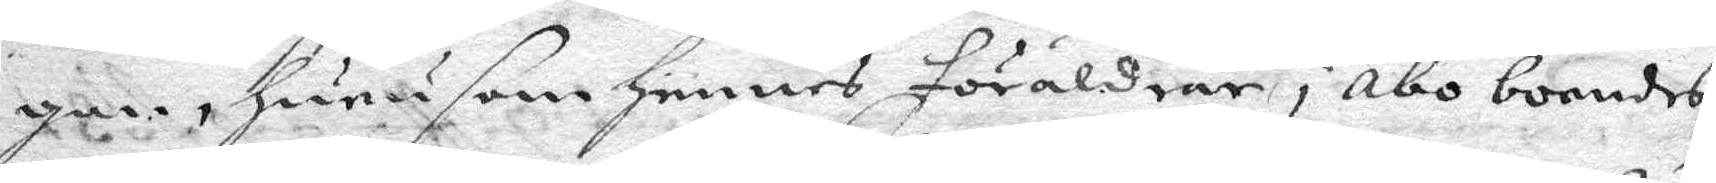gan, Huru som Hennes föräldrar i Åbo boendes,
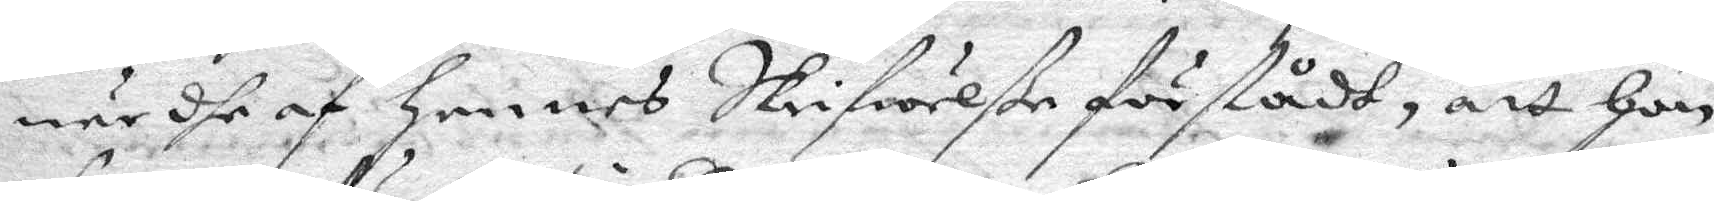när dhe af Hennes Skrifwelße förstådt, att Hon
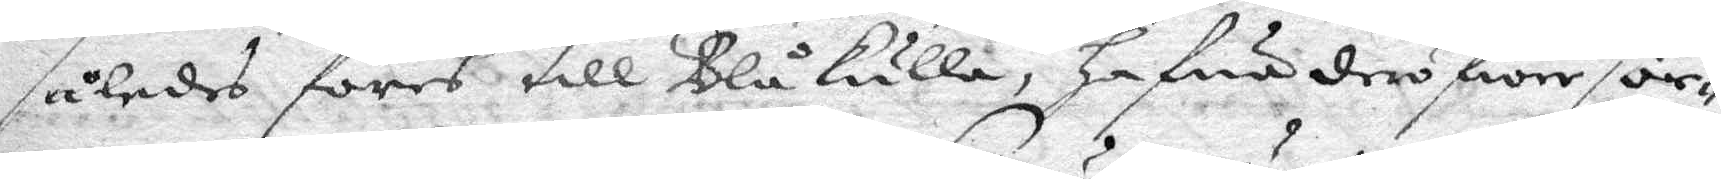således föres till Blåkulla, Hafwa derföre säe¬
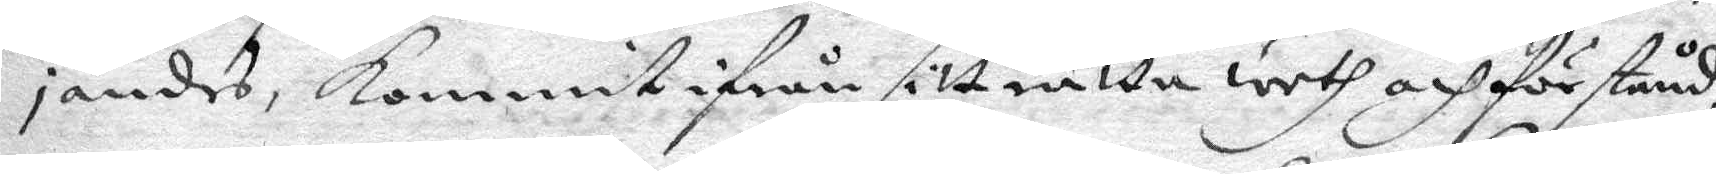jandes, kommit ifrån sitt rätta weth och förstånd
